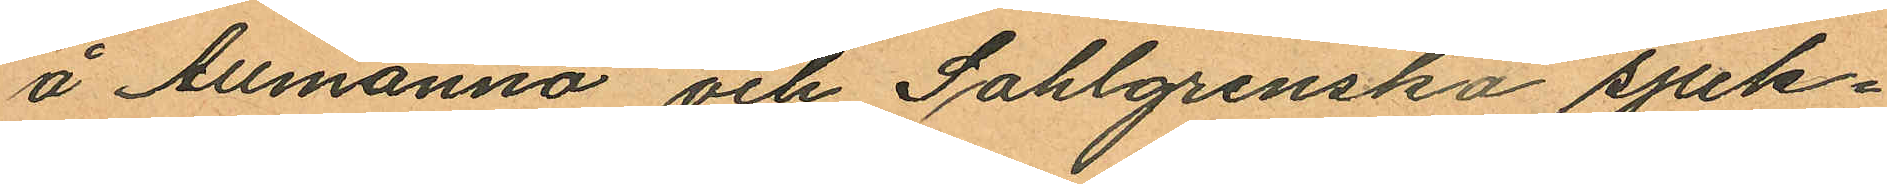å Allmänna och Sahlgrenska sjuk¬
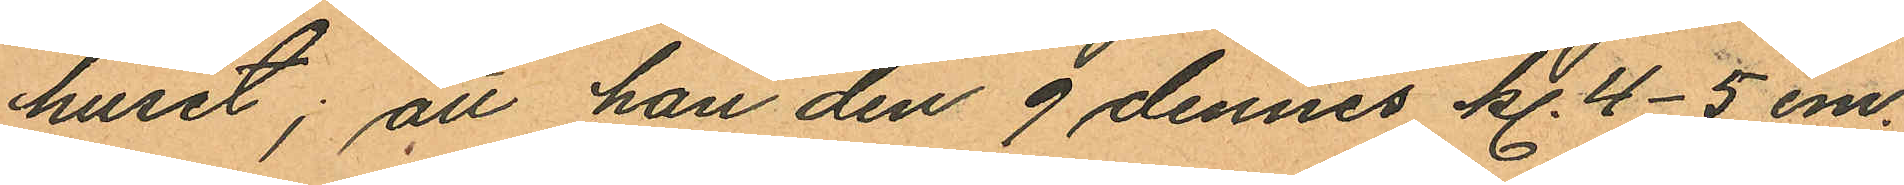huset; att han den 9 dennes kl. 4-5 em.
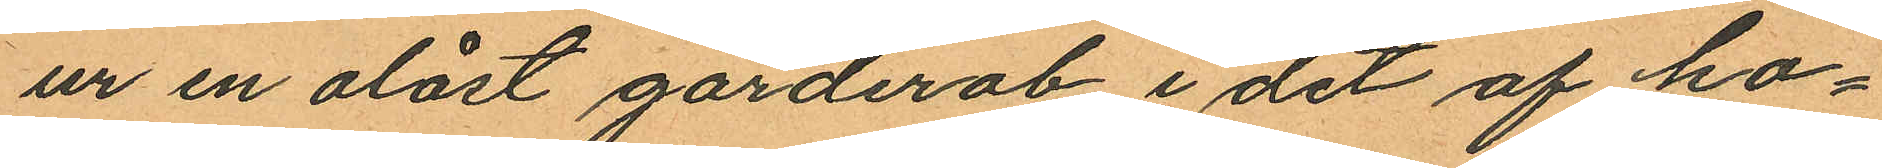ur en olåst garderob i det af ho¬
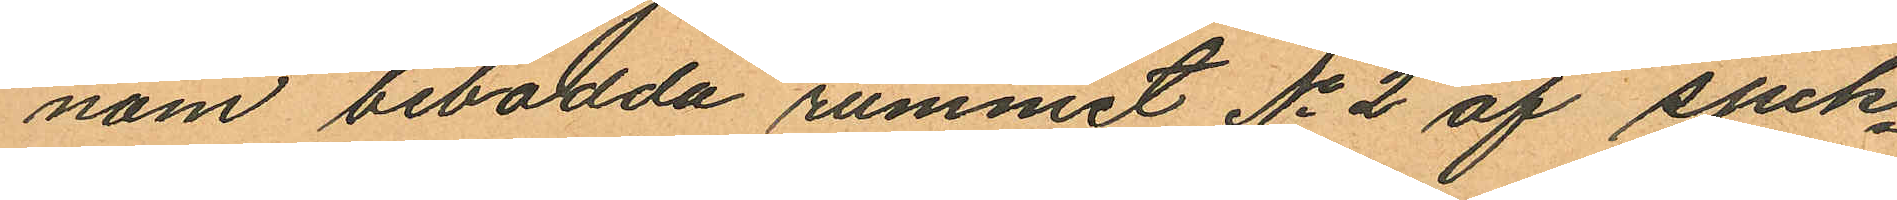nom bebodda rummet No 2 af sjuk¬
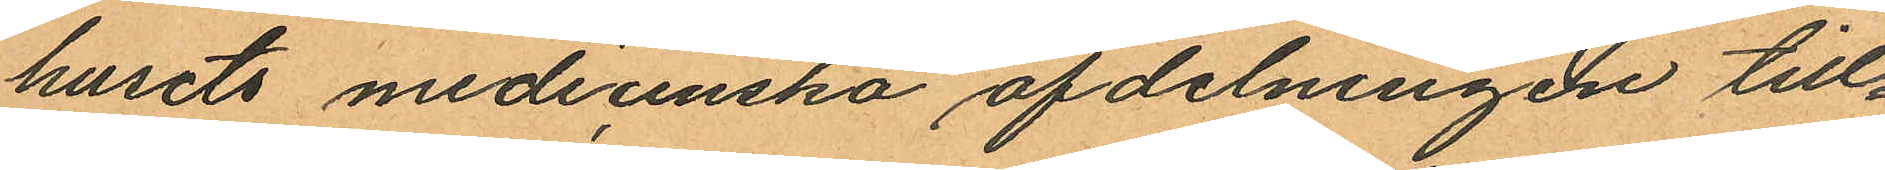husets medicinska afdelningen till¬
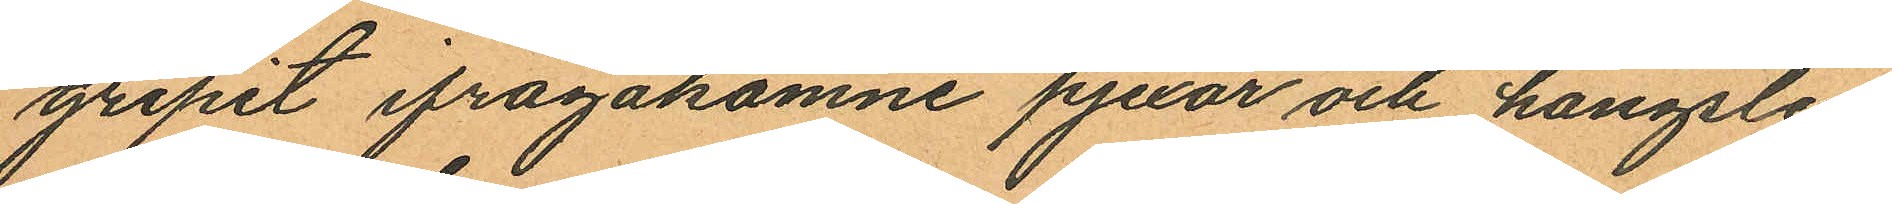gripit ifrågakomne pjexor och hängslen
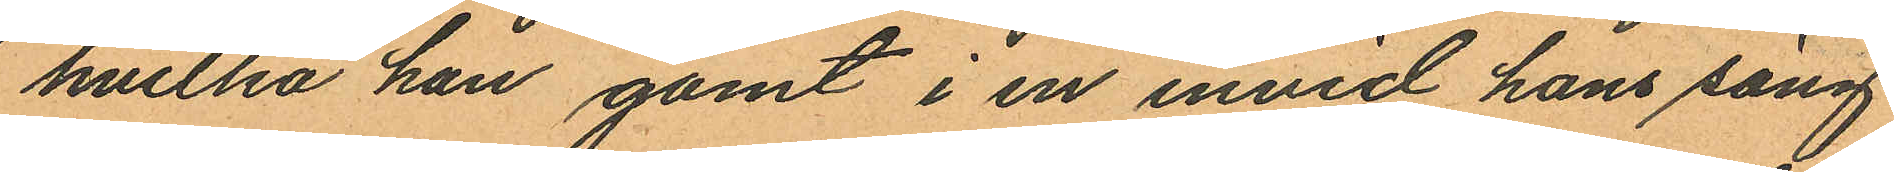hvilka han gömt i en invid hans säng
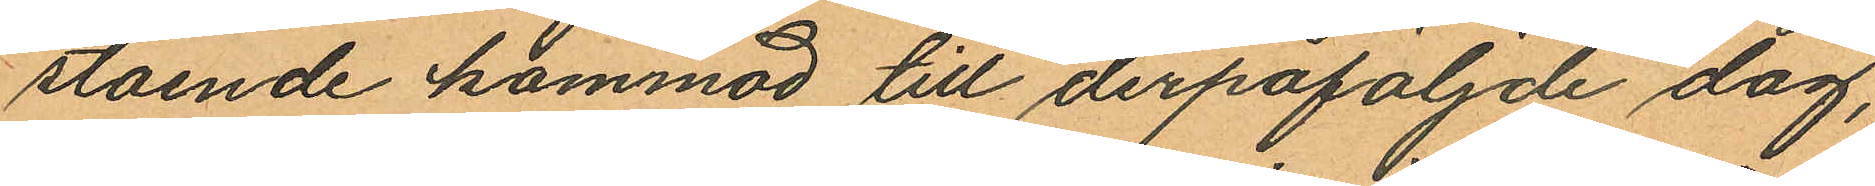stående kommod till derpåföljnde dag,
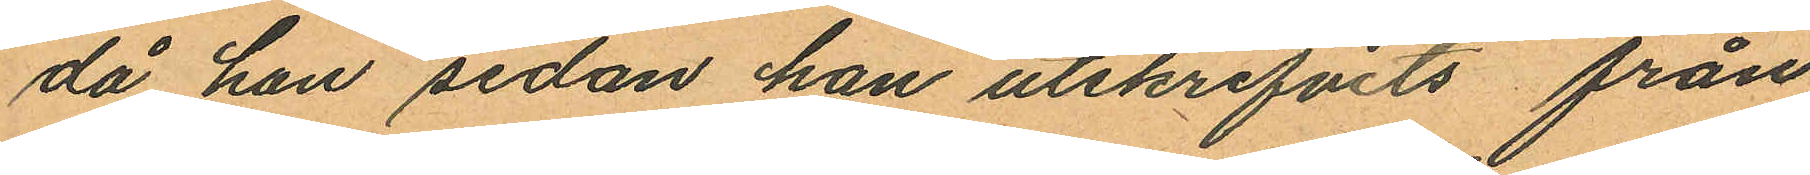då han sedan han utskrifvits från
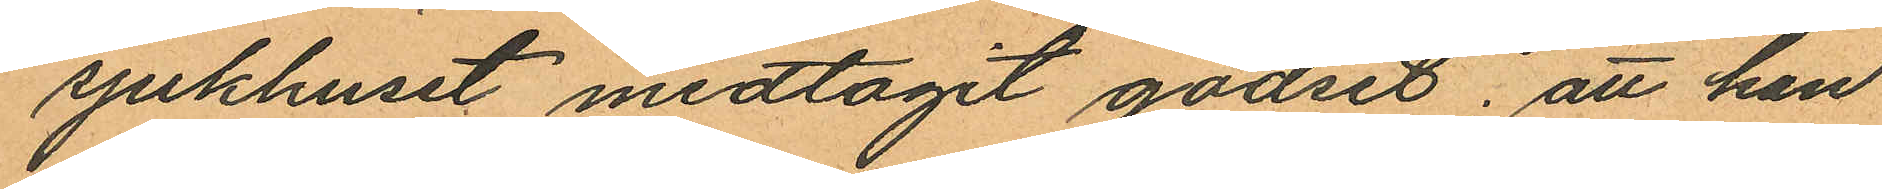sjukhuset medtagit godset; att han
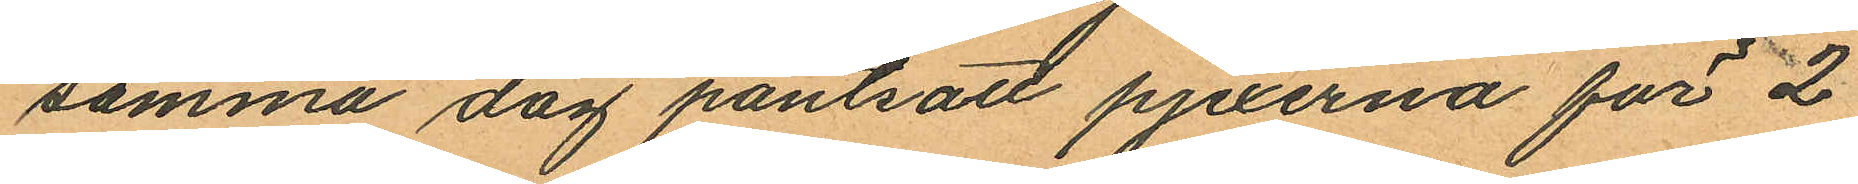samma dag pantsatt pjexerna för 2
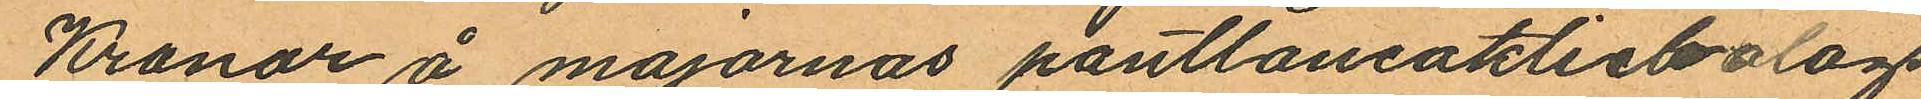Kronor å majornas pantlåneaktiebolags
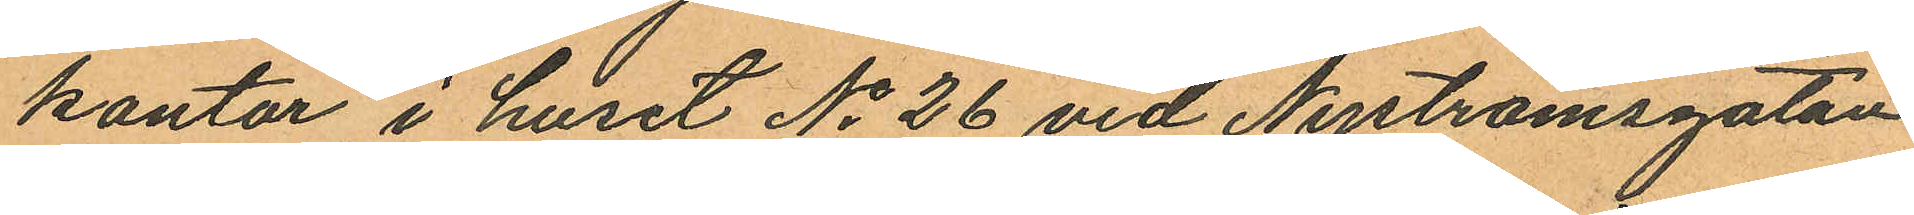kontor i huset No 26 vid Nyströmsgatan
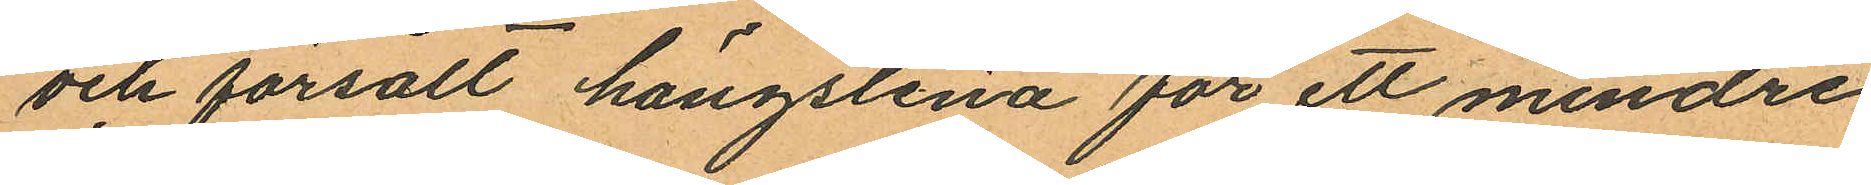och försålt hängslena för ett mindre
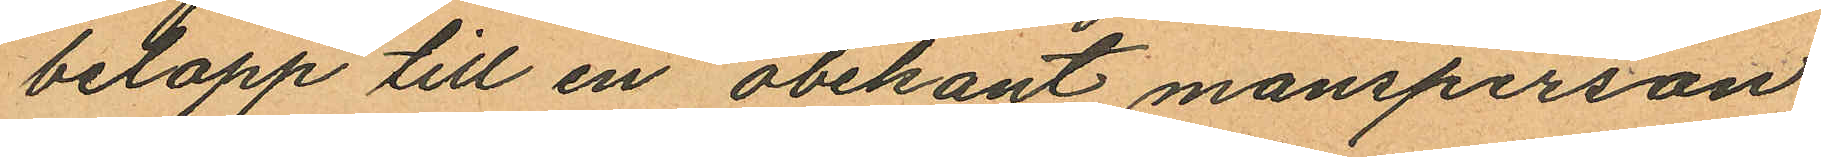belopp till en obekant mansperson;
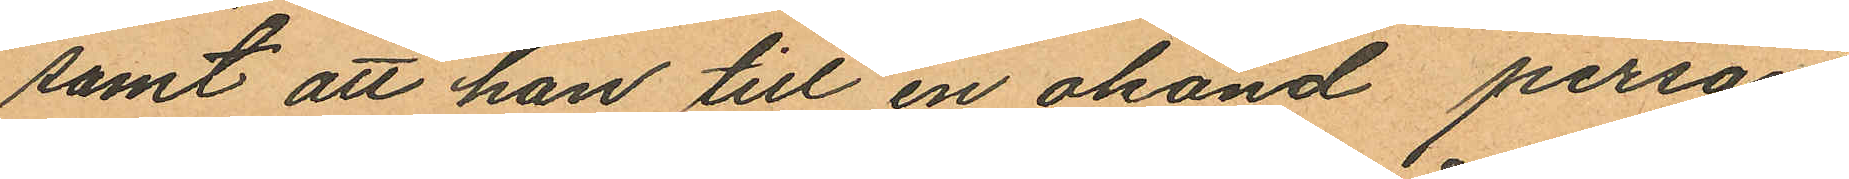samt att han till en okänd person
